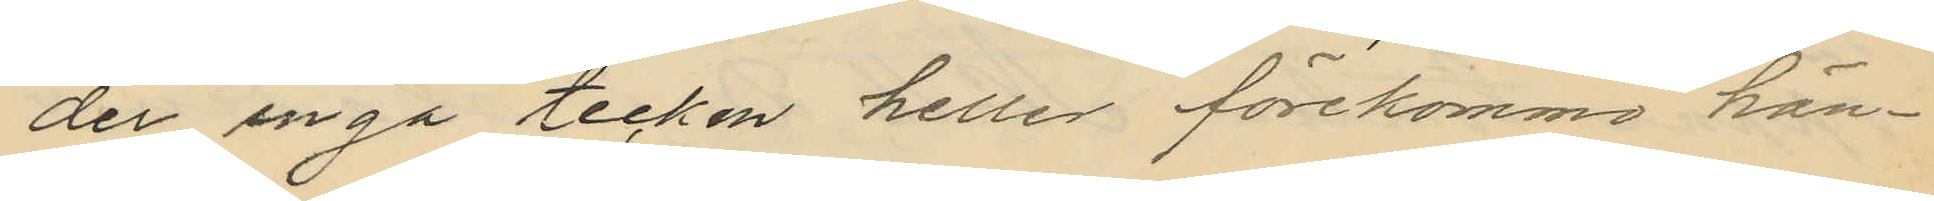der ångå tecken heller förekommo hän¬
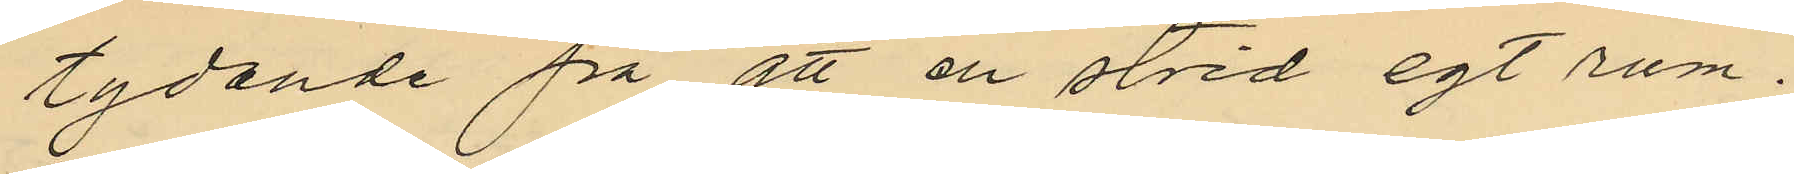tydande på att en strid egt rum.
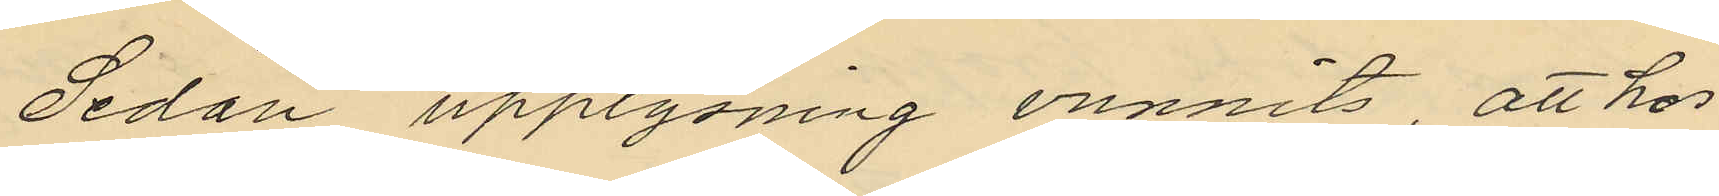Sedan upplysning vunnits, att hos
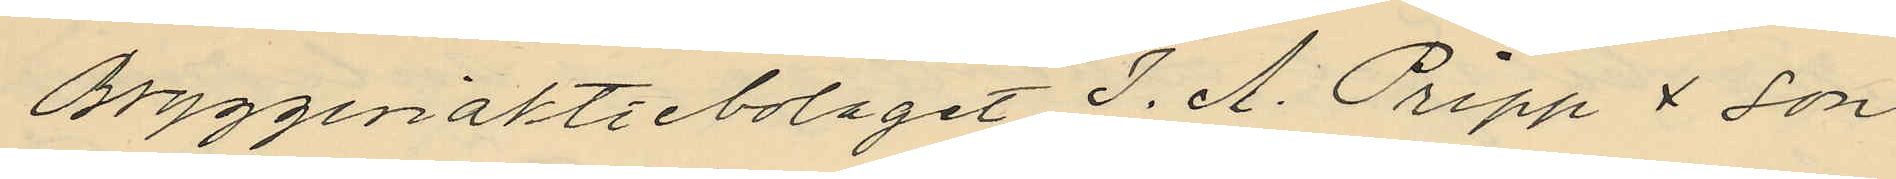Bryggeriaktiebolaget J. A. Pripp & son
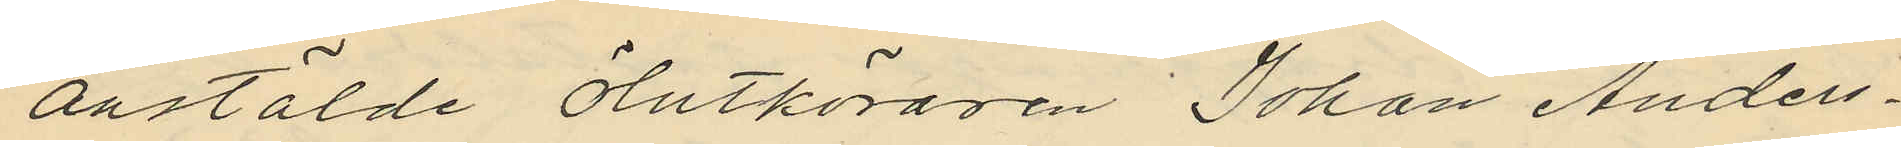anstälde ölutköraren Johan Anders¬
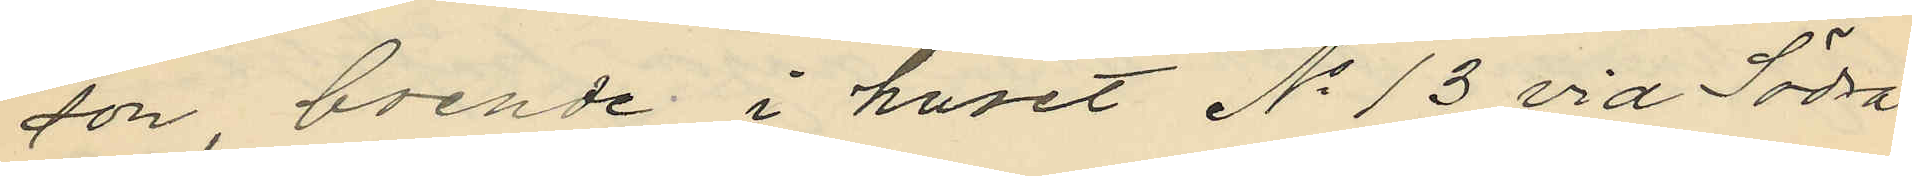son boende i huset No 13 vid Södra
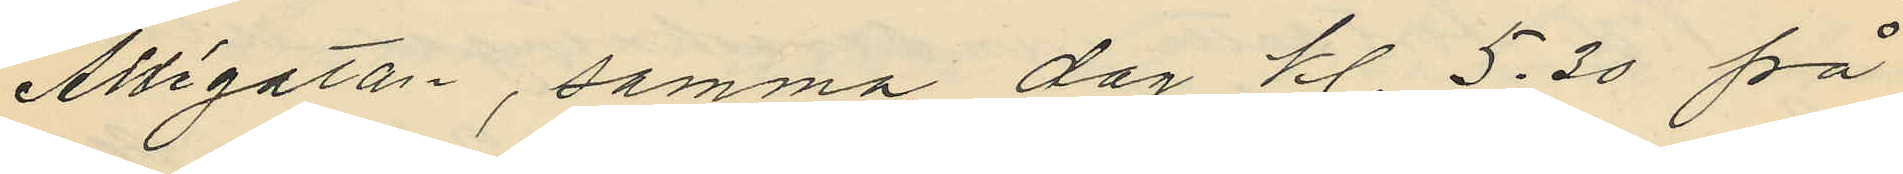Allégatan, samma dag kl. 5.30 på
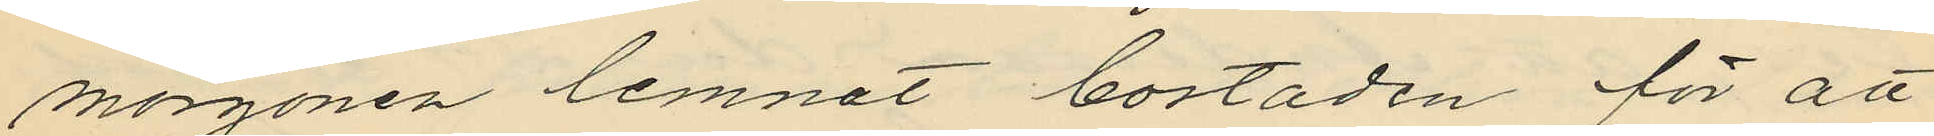morgonen lemnat bostaden för att
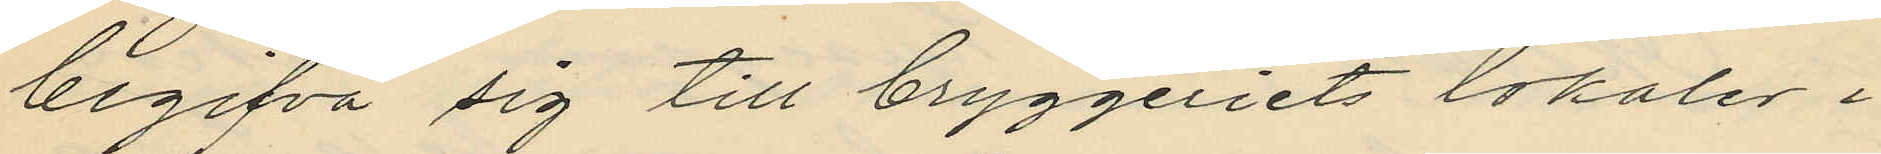begifva sig till bryggeriets lokaler i
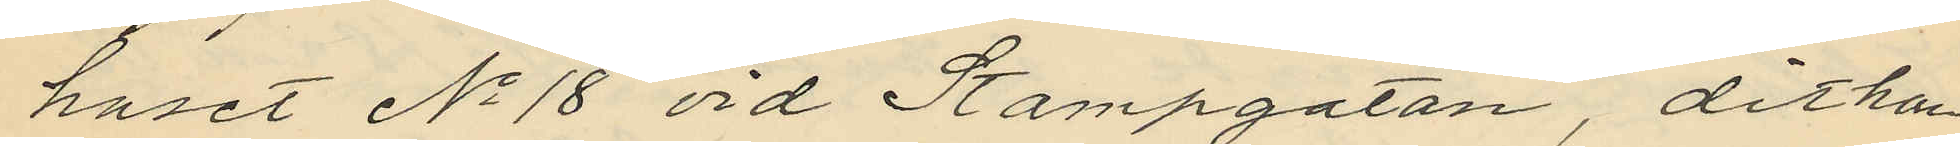huset No 18 vid Stampgatan, dit han
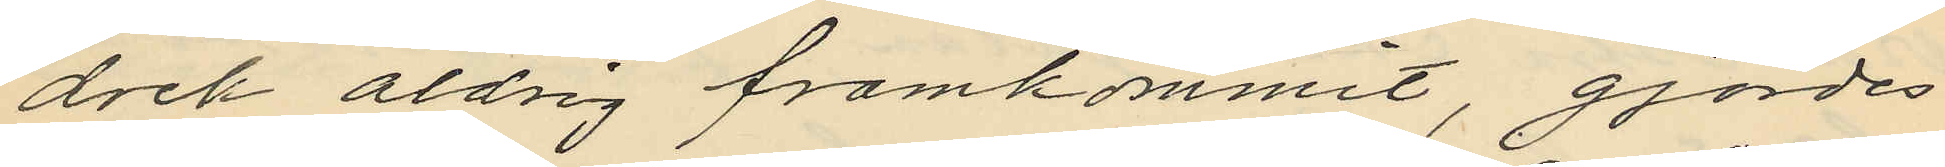dock aldrig framkommit, gjordes
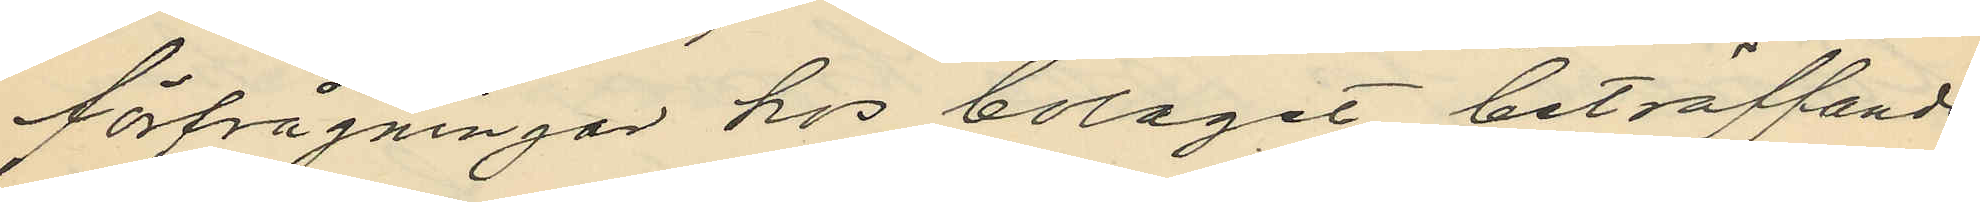förfrågningar hos bolaget beträffande
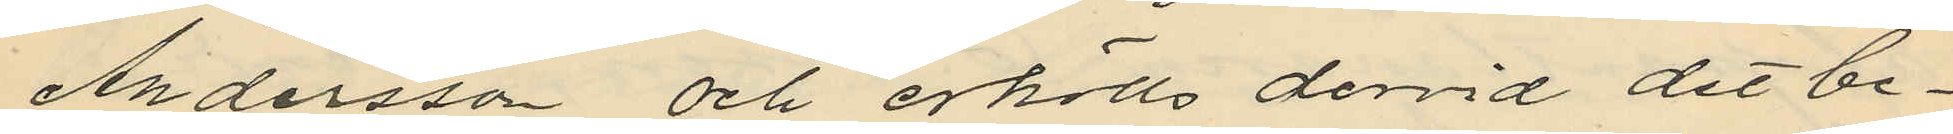Andersson och erhölls dervid det be¬
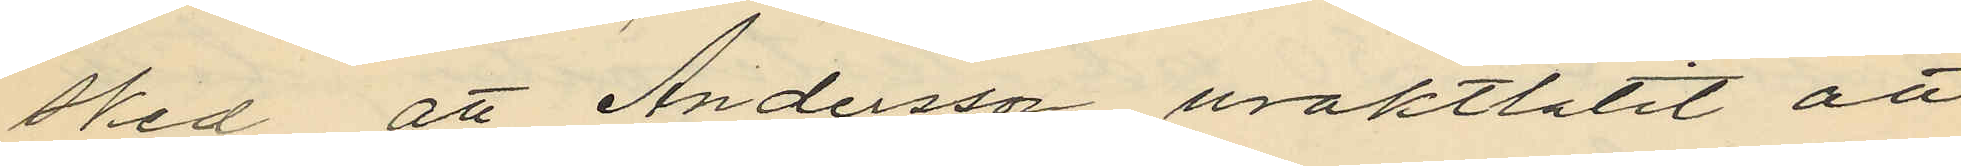sked att Andersson uraktlåtit att
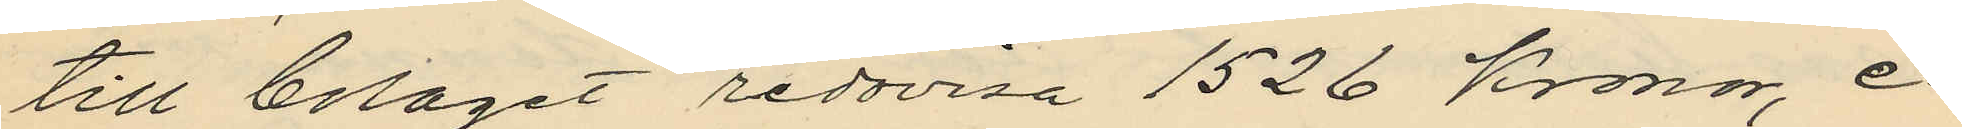till bolaget redovisa 1526 Kronor, e¬
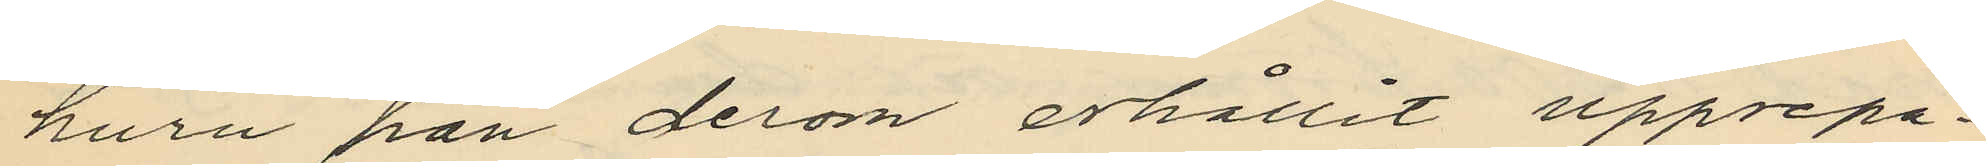huru han derom erhållit upprepa¬
